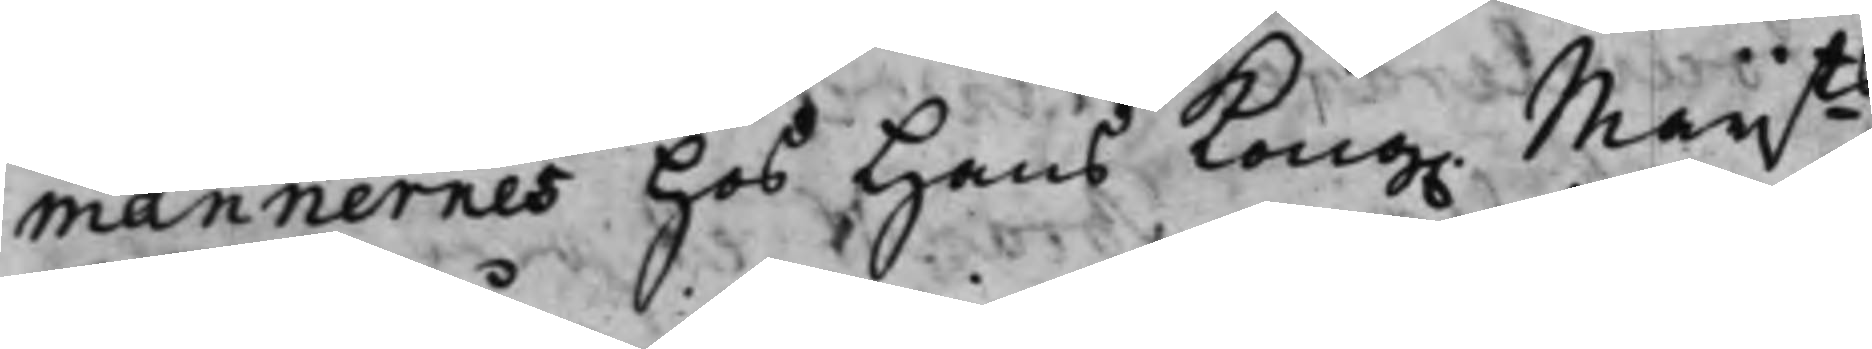männernes hos Hans Kong. Maijts
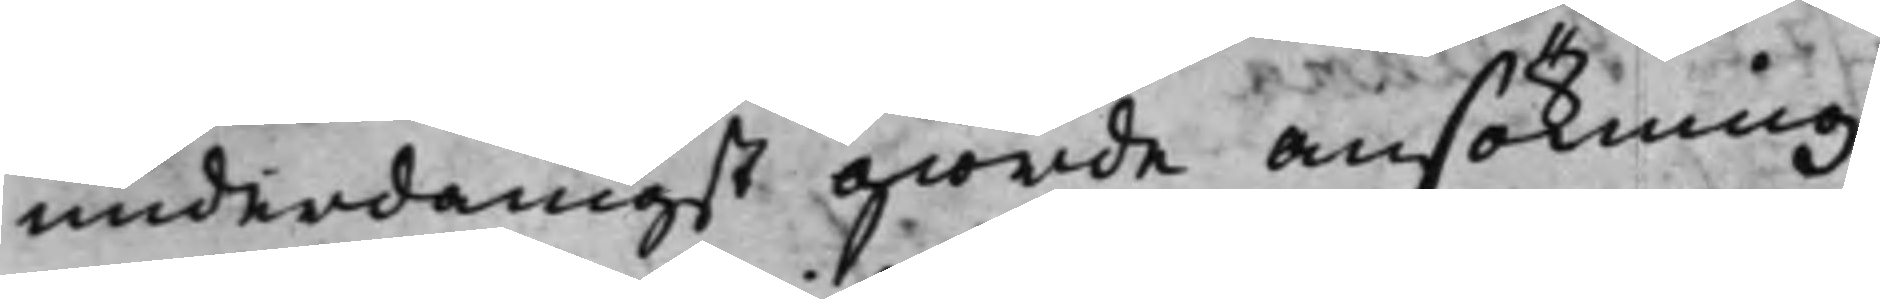underdånigst giorde ansökning
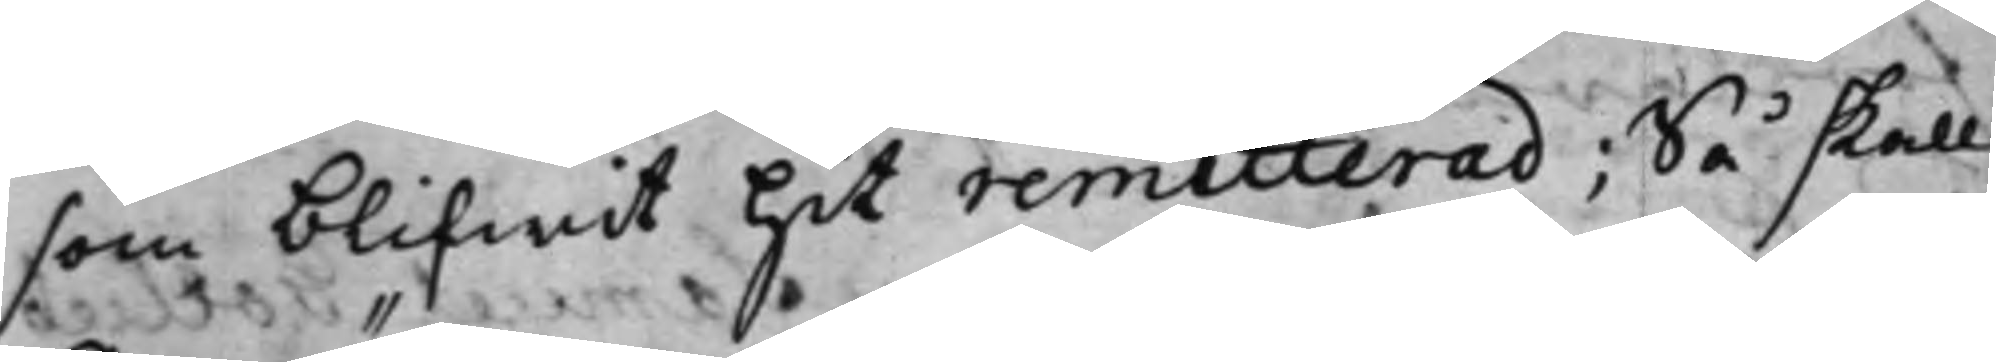som blifwit hit remitterad; Så skall
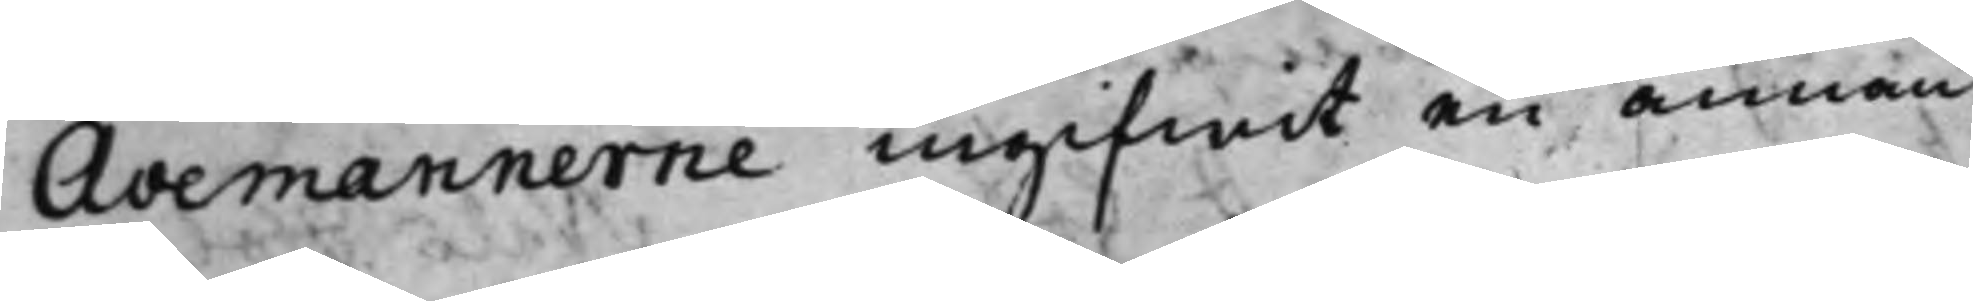Avemännerne ingifwit en annan
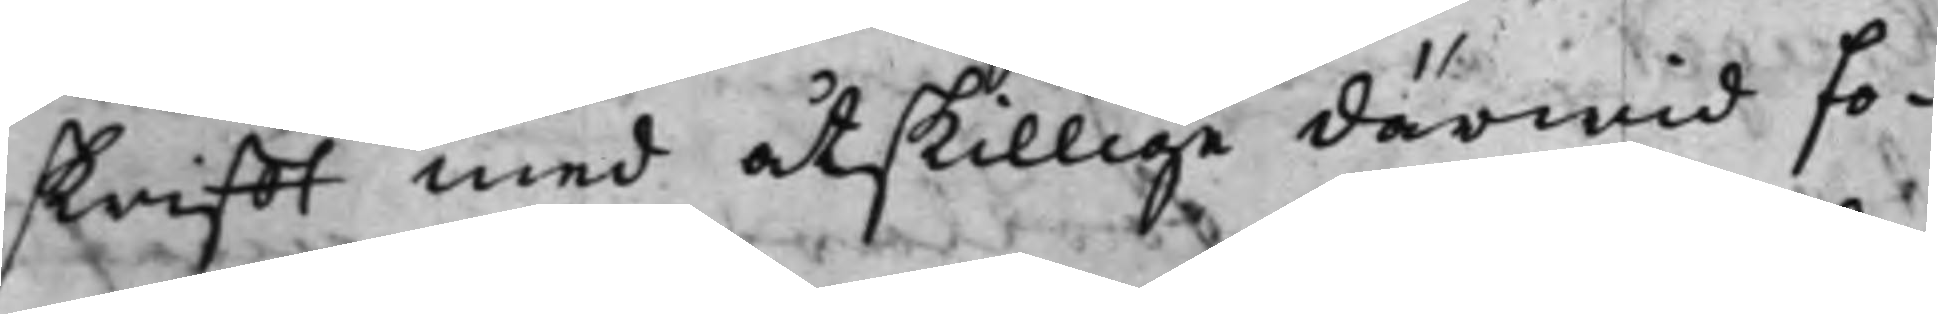skrifft med åtskillige därwid fo¬
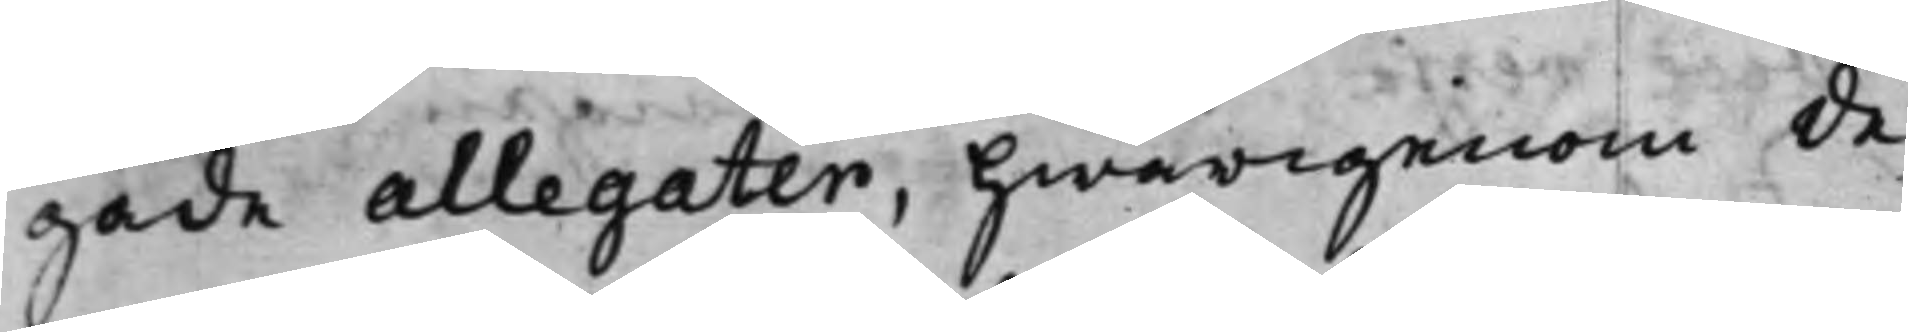gade allegater, hwarigenom de
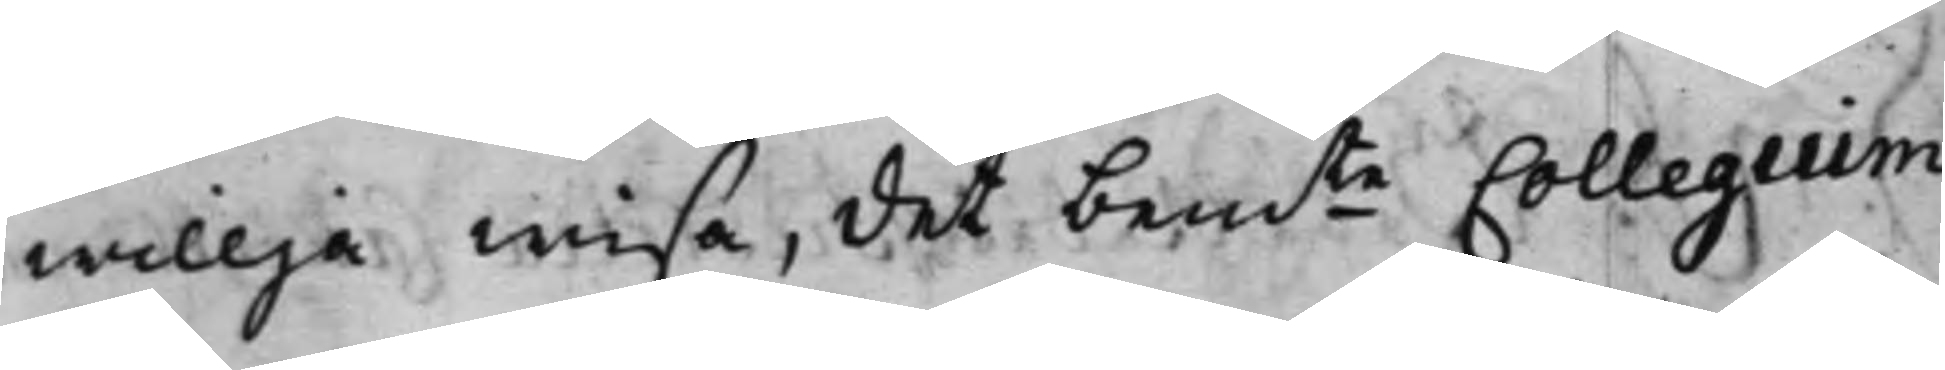willja wisa, det bemte Collegium
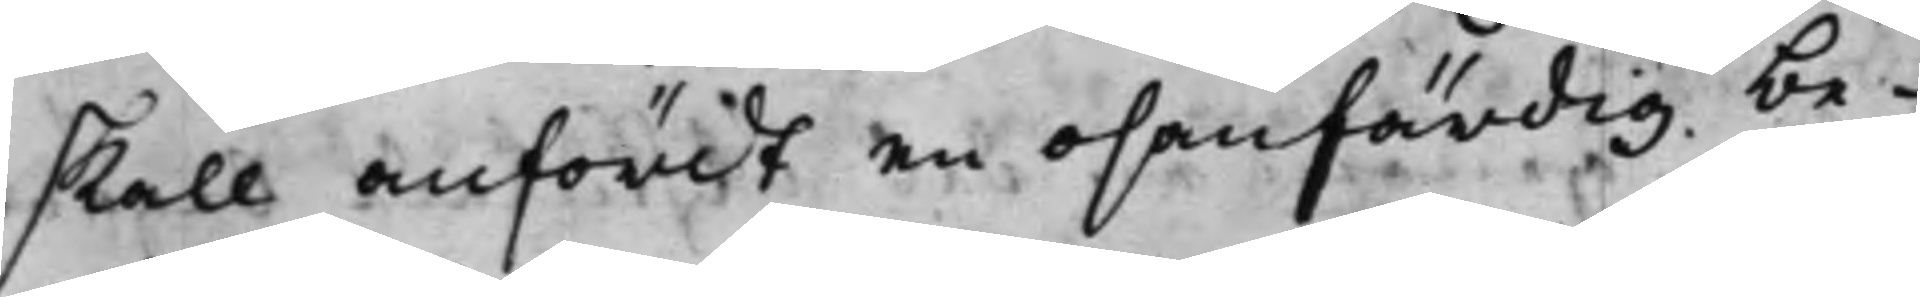skall anfördt en osanfärdig be¬
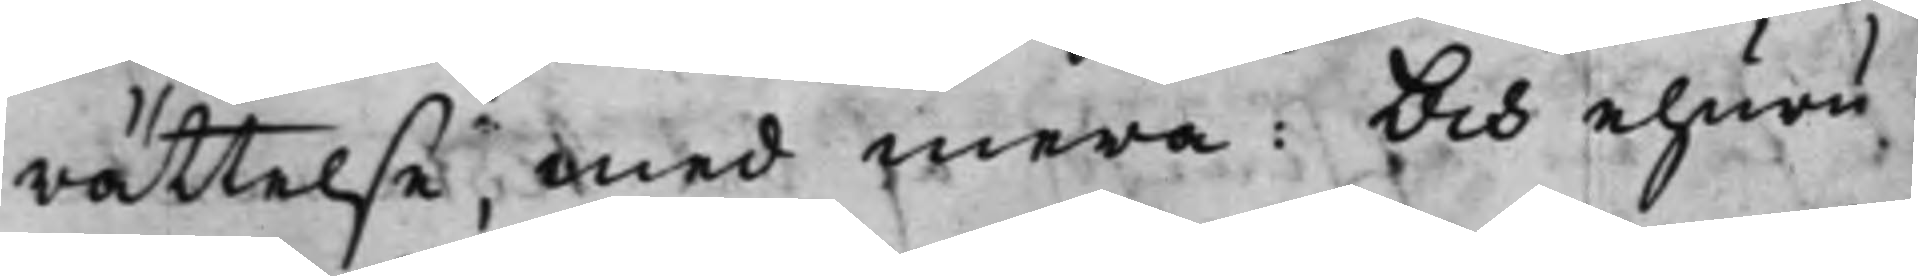rättelse, med mera: Och ehuru¬
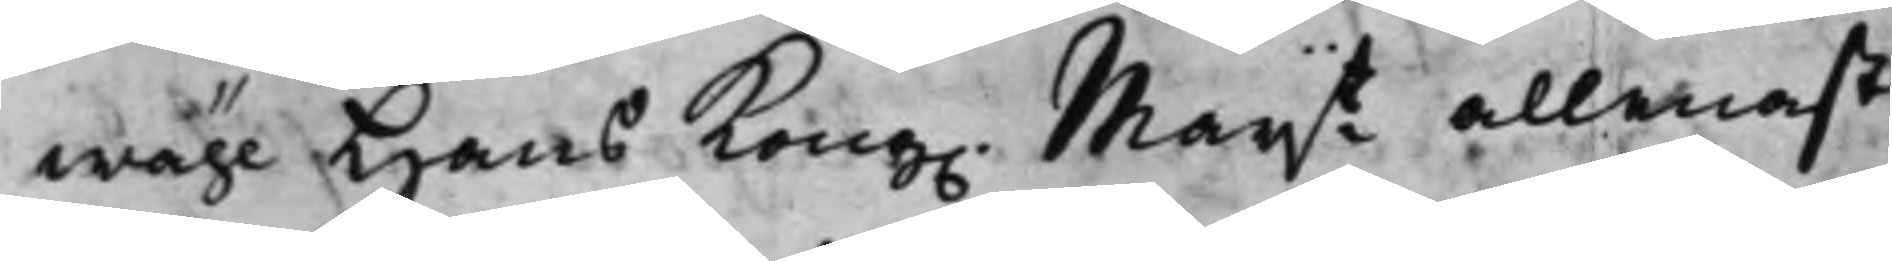wähl Hans Kong. Maij.t allenast
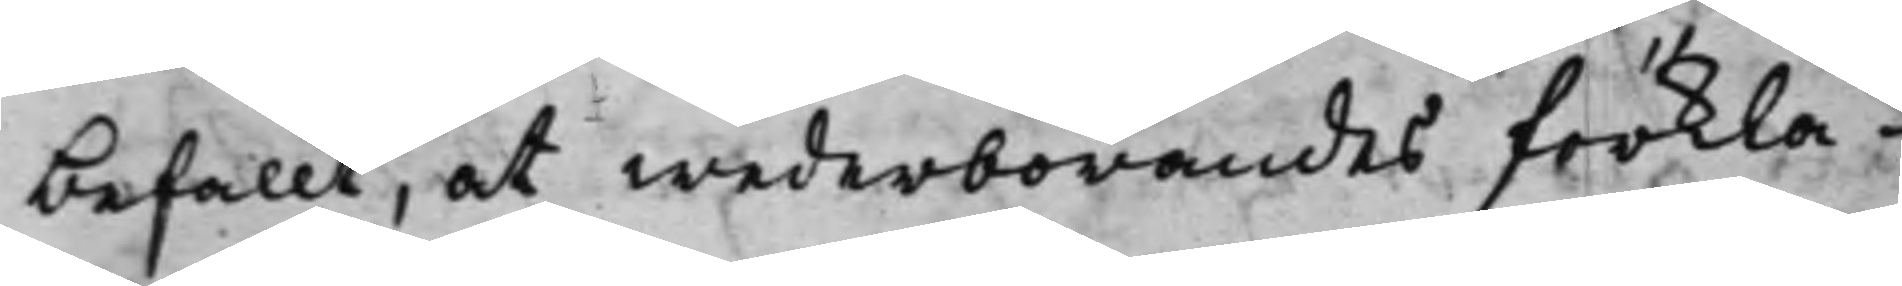befallt, at wederbörandes förkla¬
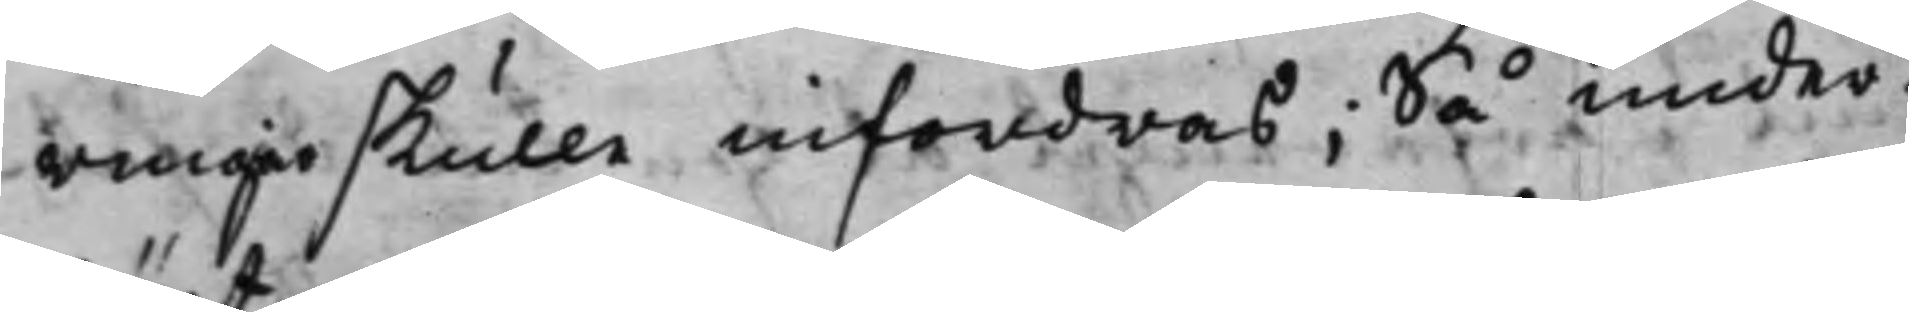ringar skulle infordras; Så under¬
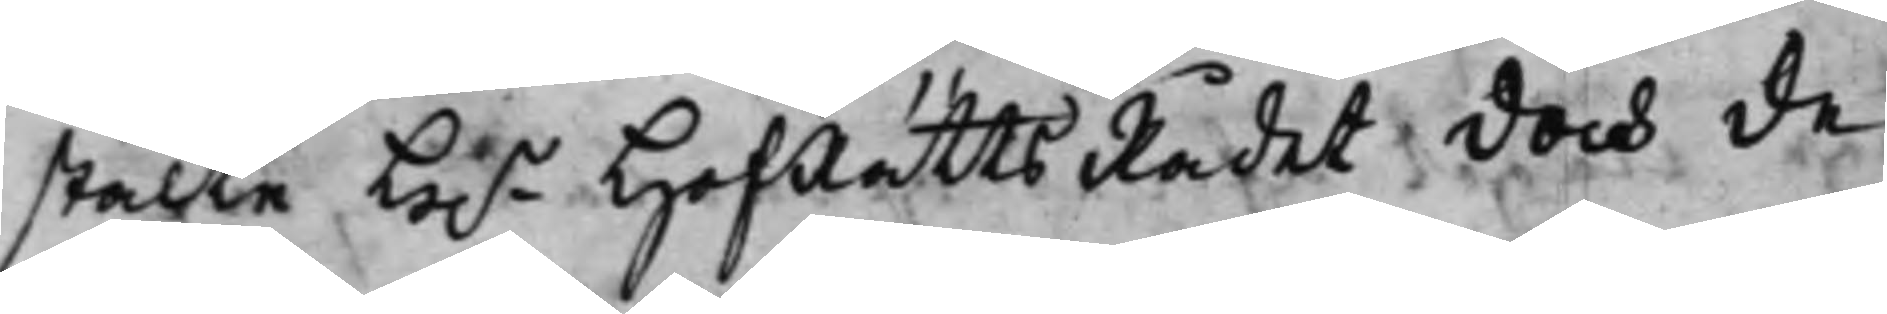stälte H.r HofRätts Rådet doch de
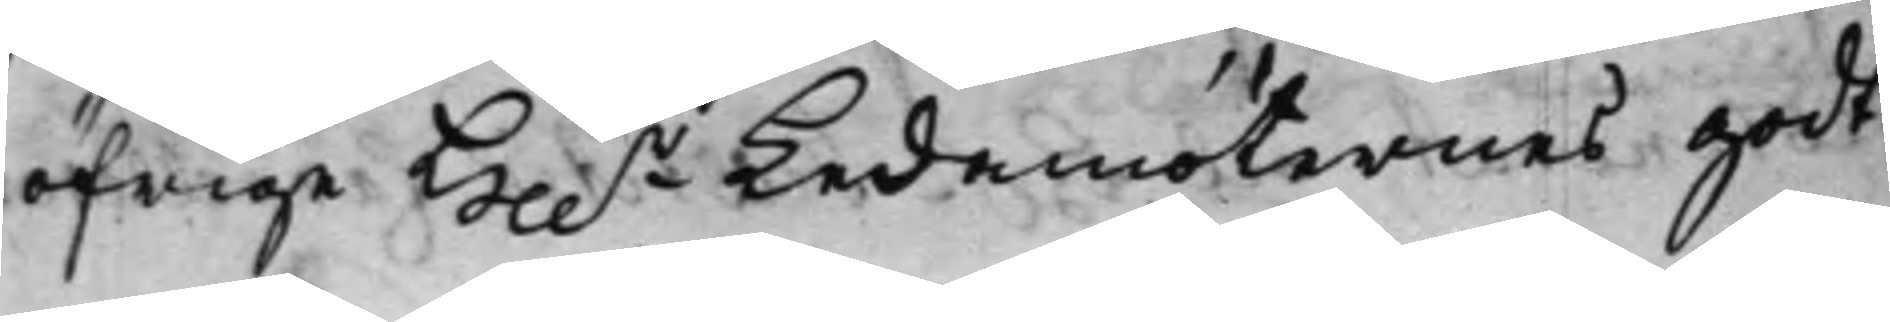öfrige He.r Ledamöternes godt¬
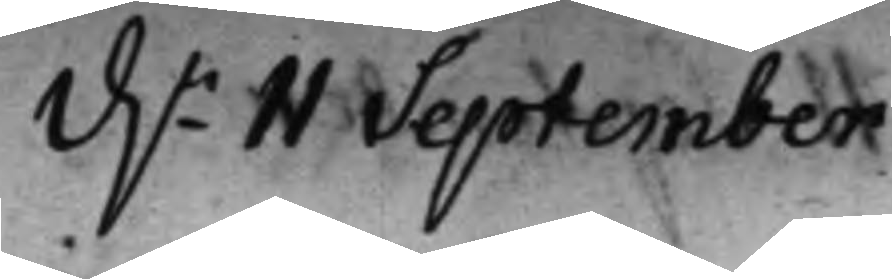d.n 11 September.
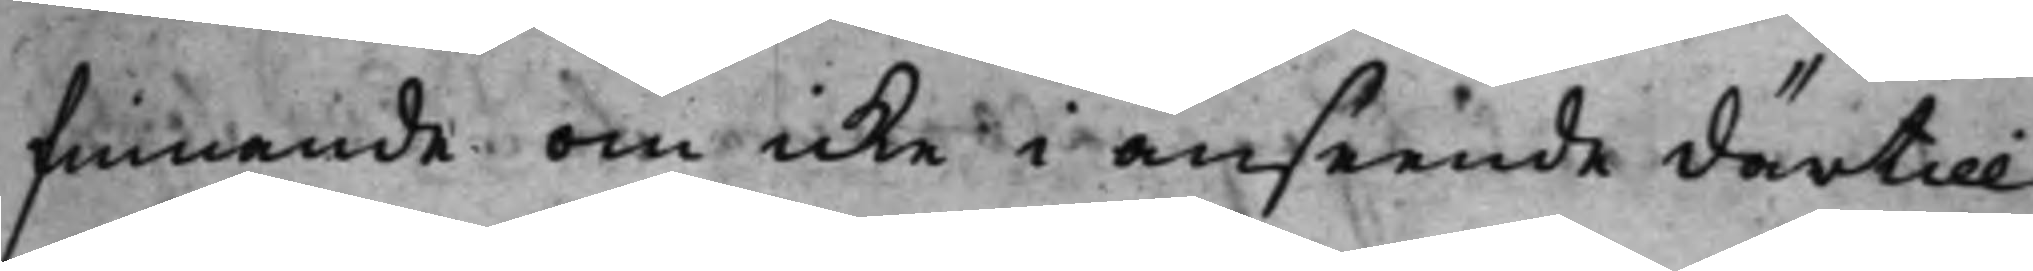finnande om icke i anseende därtill
